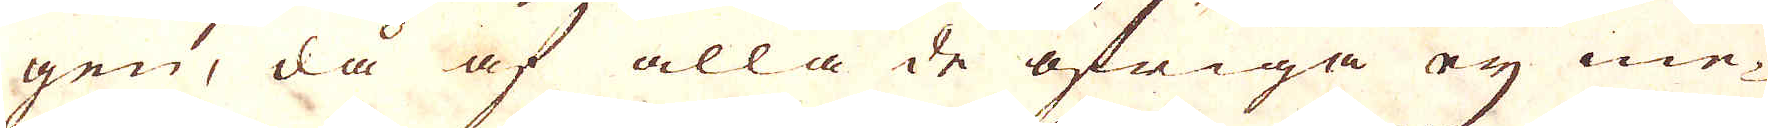gen, då af alla de öfriga ey me-
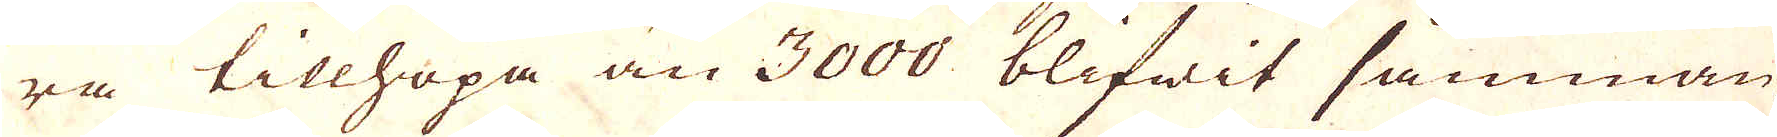ra tillhopa än 3000 blifwit samman-
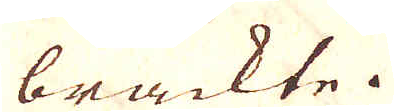beckte.
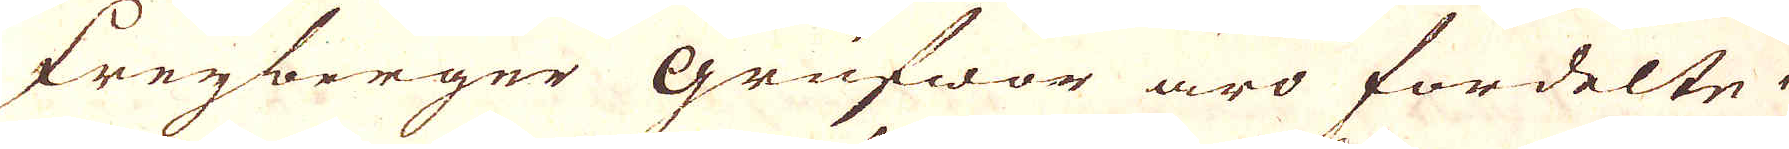Freyberger grufwor äro fördelte i
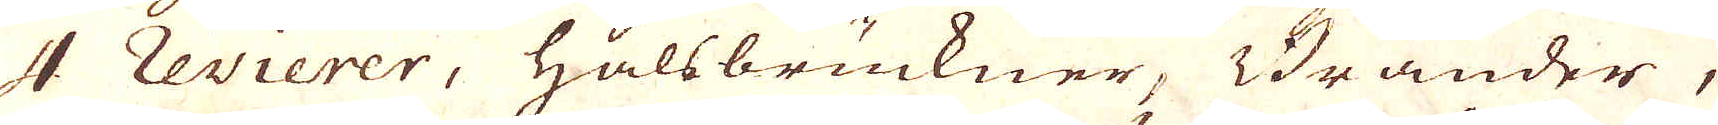4 revierer, Halsbruckner, Brander,
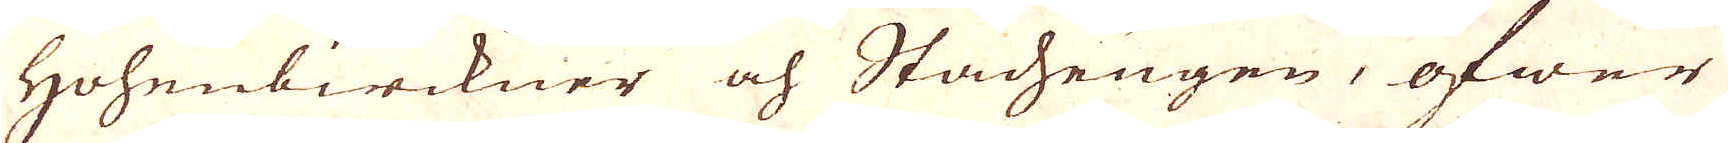Hohenbirckner och Stacheugen, öfwer
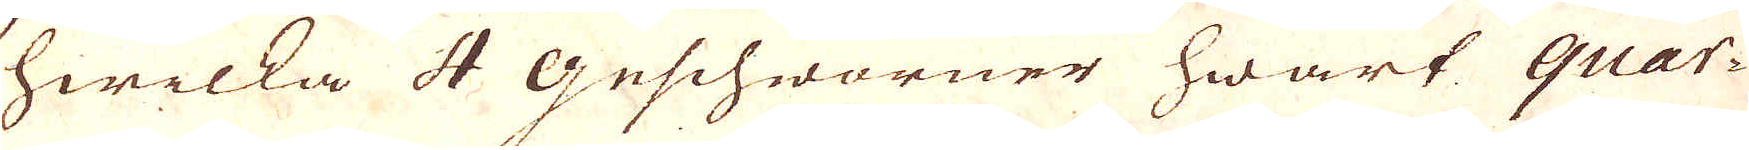hwilka 4 geschworner hwart quar-
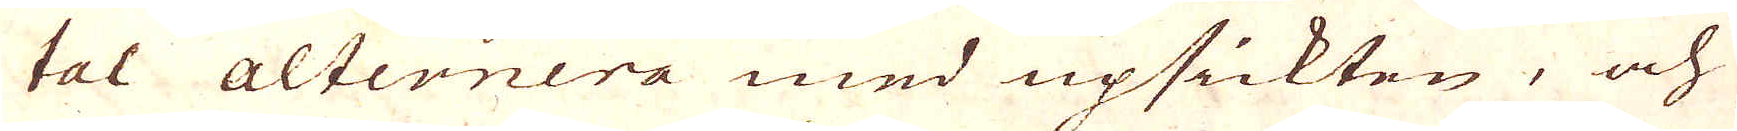tal alternera med upsickten, och
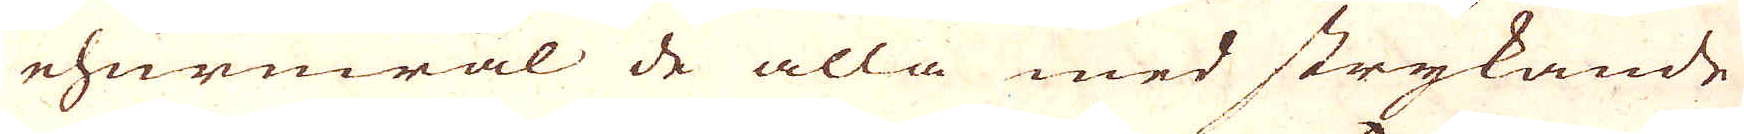ehuruwäl de alla med strykande
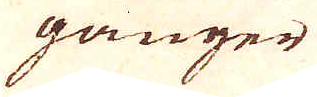gånger
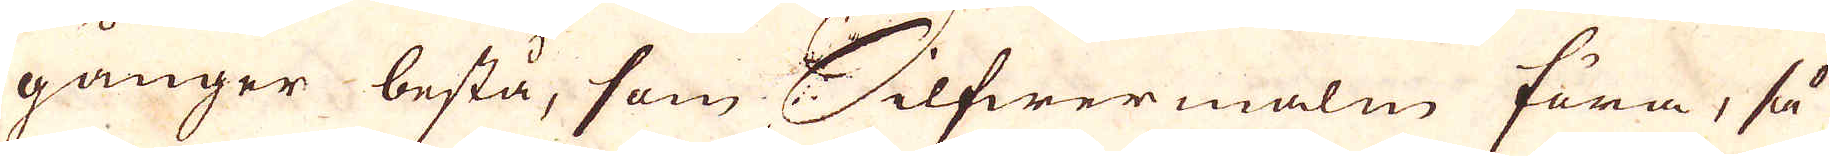gånger bestå, som Silfwermalm föra, så
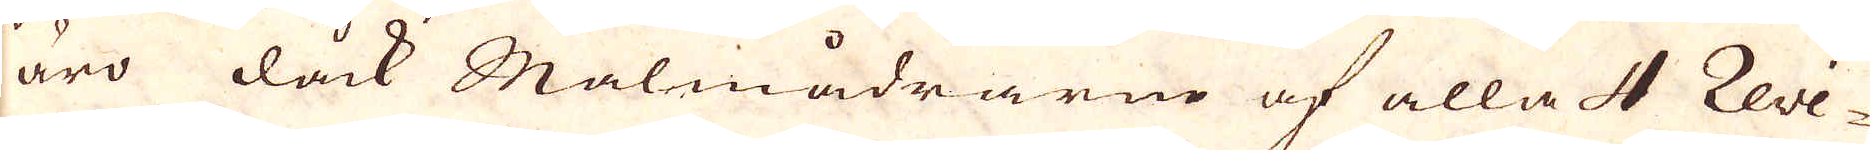äro dåck Malmådrarne af alla 4 Revi-
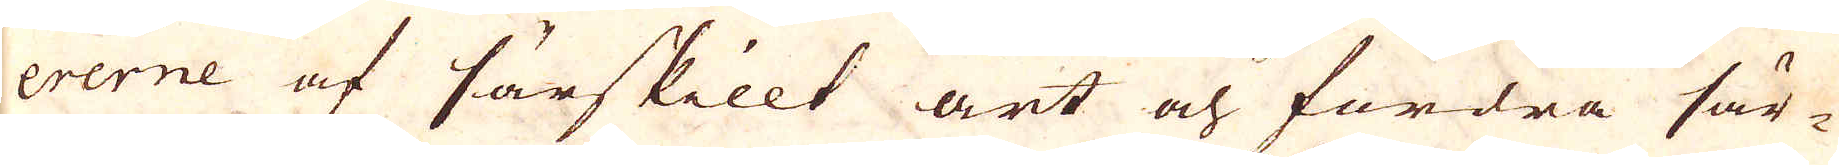ererne af särskillt art och fordra sär-
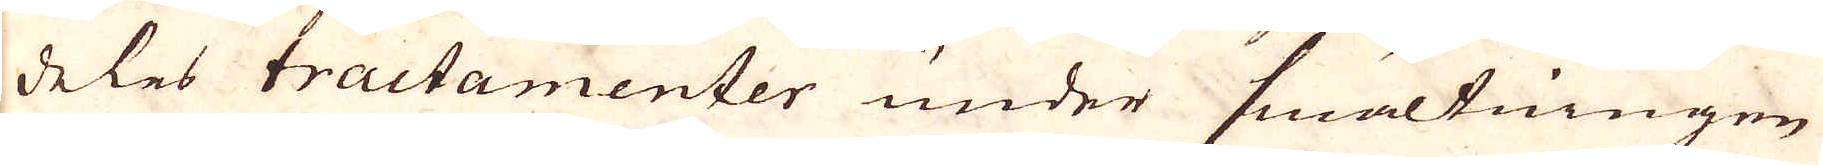deles tractamenter under smältningen
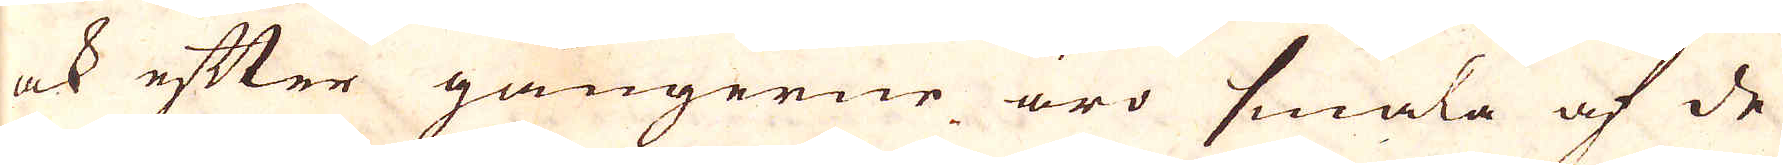ock efter gångerne äro smala af de
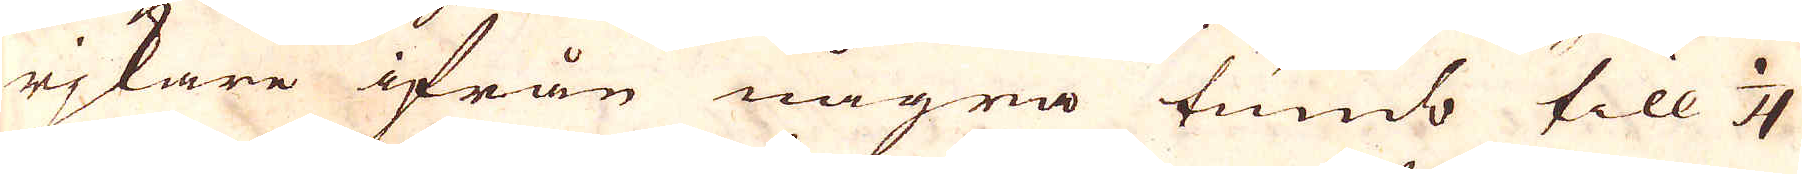rikare ifrån några tumb till 1/4
